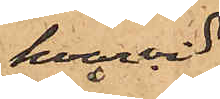hvarvid
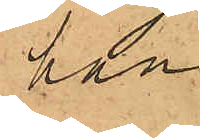han
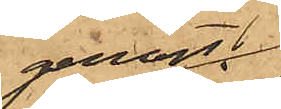genast
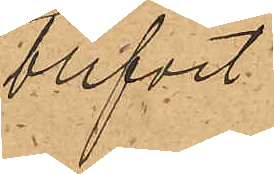blifvit
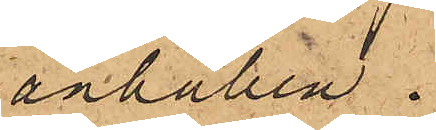anhållen.
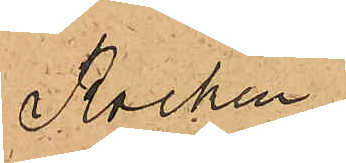Rocken,
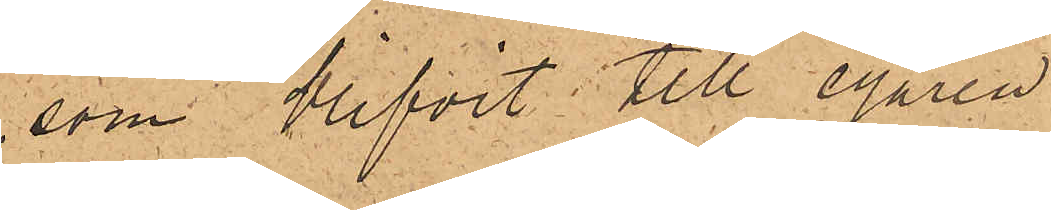som blifvit till egaren
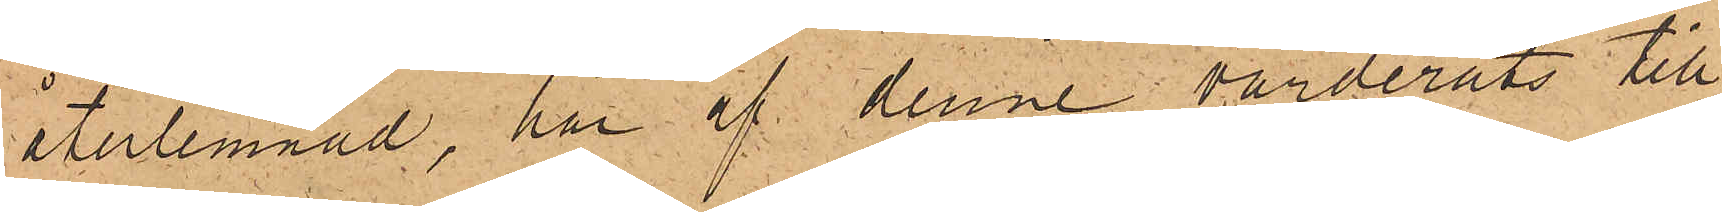återlemnad, har af denne värderats till
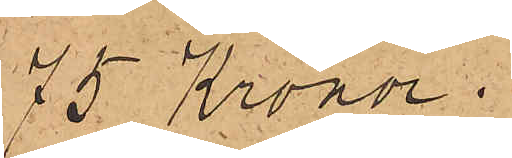75 Kronor.
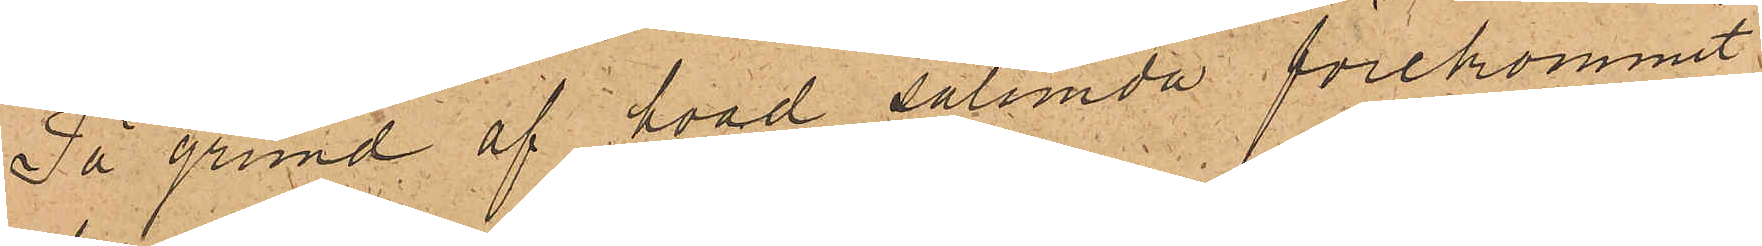På grund af hvad sålunda förekommit,
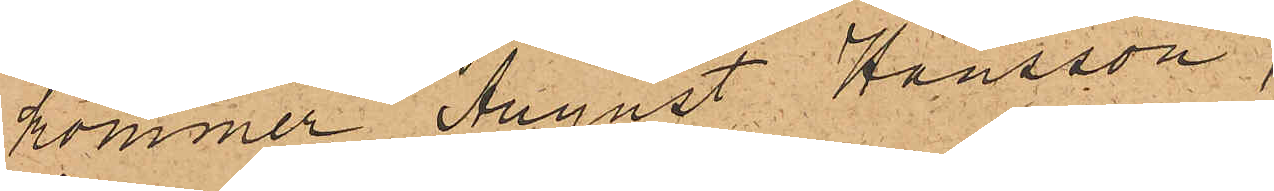kommer August Hansson
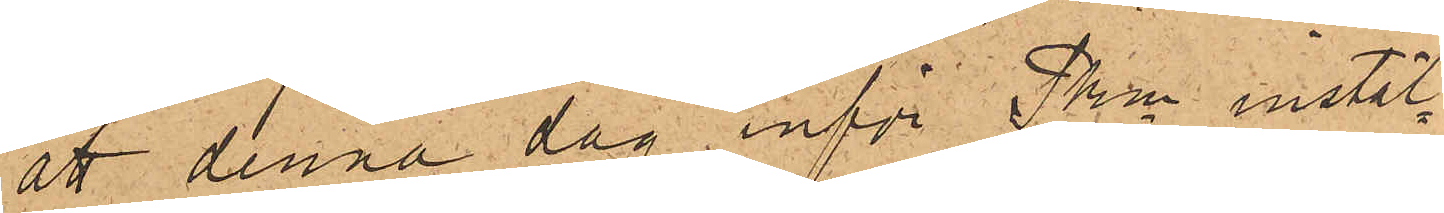att denna dag inför Pkn instäl¬
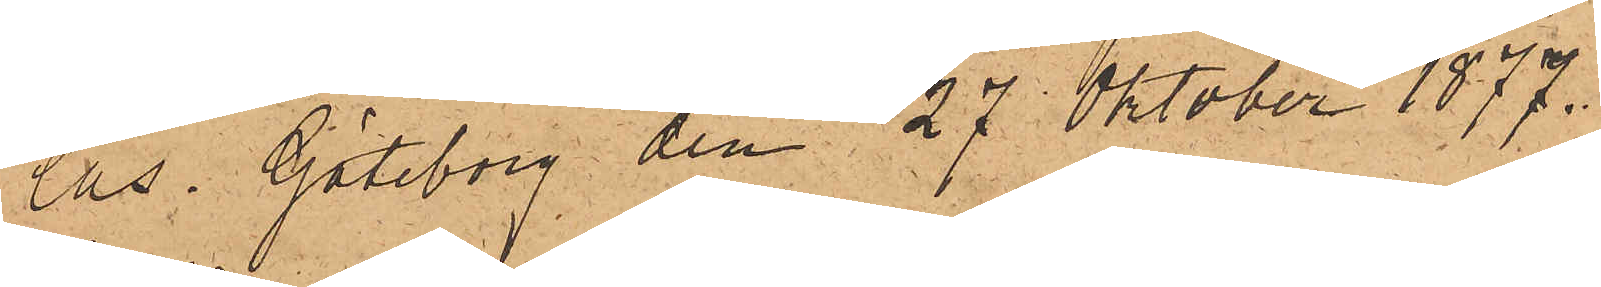las. Göteborg den 27 Oktober 1877.
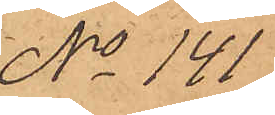No 141
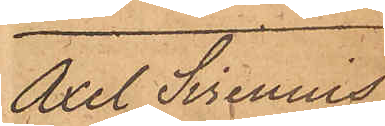Axel Sirenius
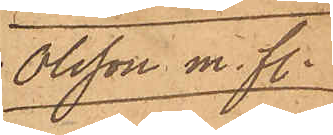Olsson m. fl.
